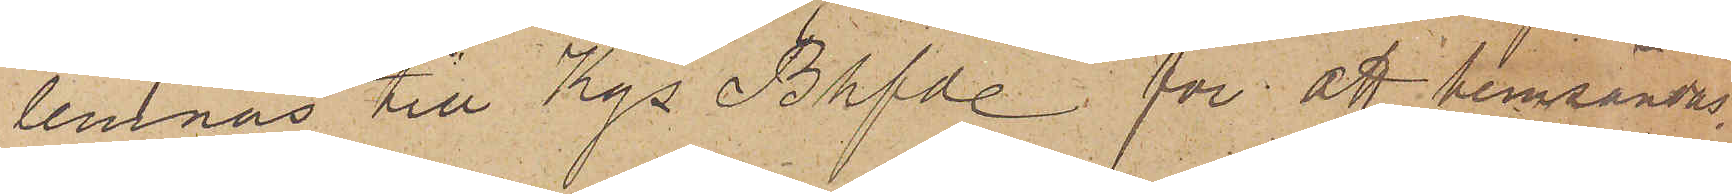lemnas till Kgs Bhfde för att hemsändas.
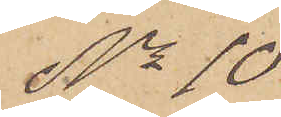No 10
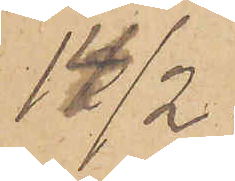14/2.
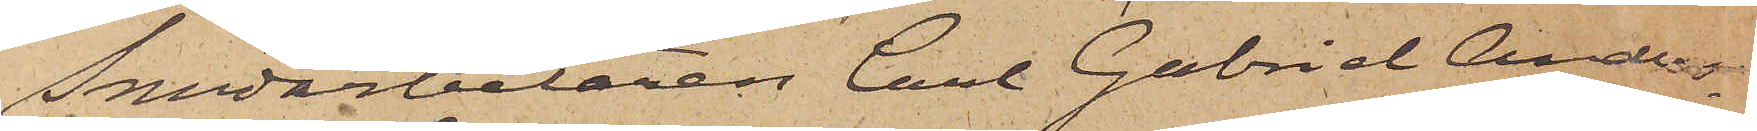Smedarbetaren Carl Gabriel Anders¬
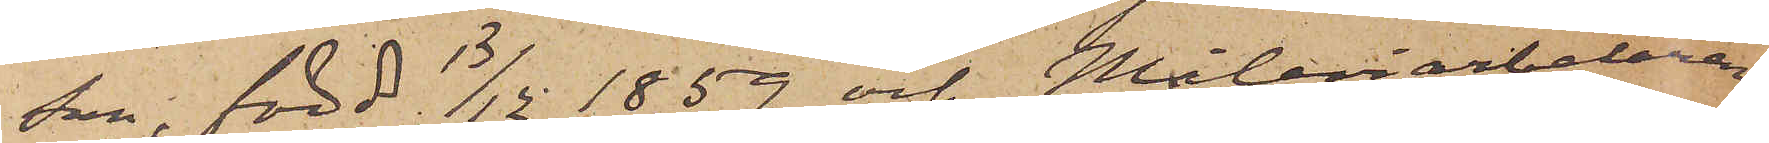son, född 13/12 1859 och Måleriarbetaren
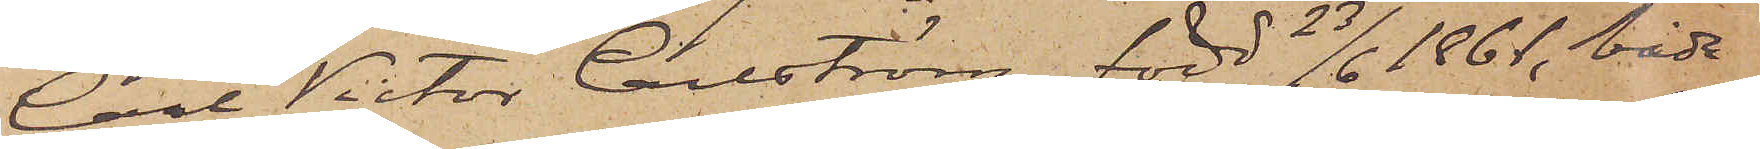Carl Victor Carlström, född 23/6 1861, båda
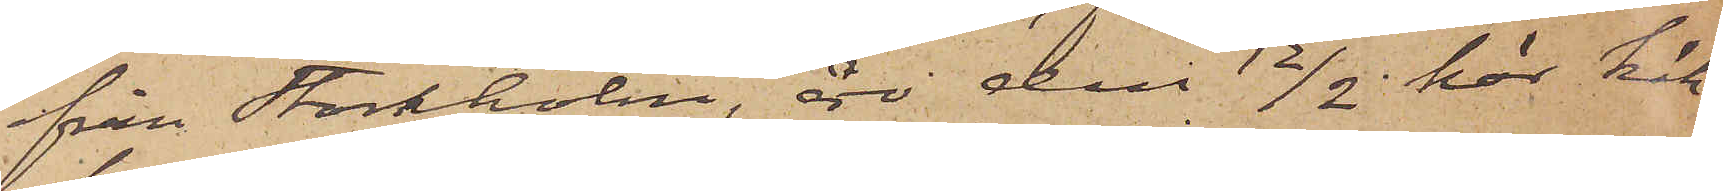från Stockholm, äro den 12/2 här häk¬
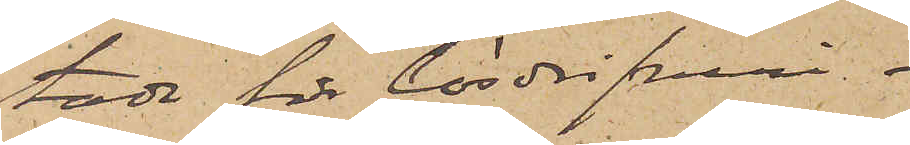tade för lösdrifveri.
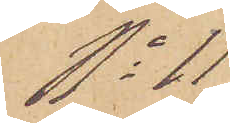No 11
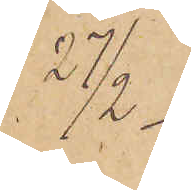27/2
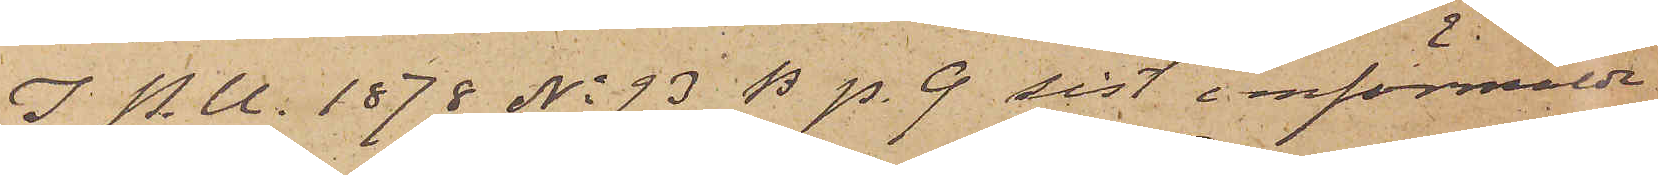I P. U. 1878 No 93 B p. 9 sist. omförmälde
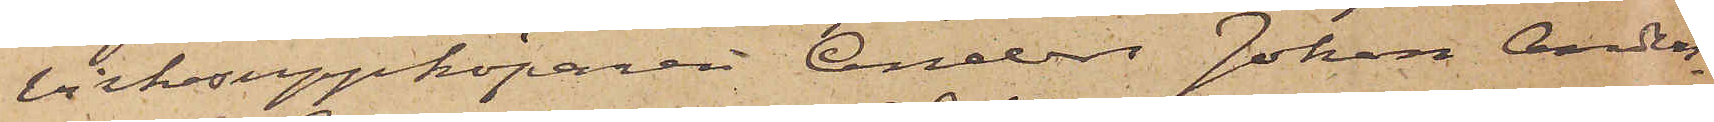virkesuppköparen Anders Johan Anders¬
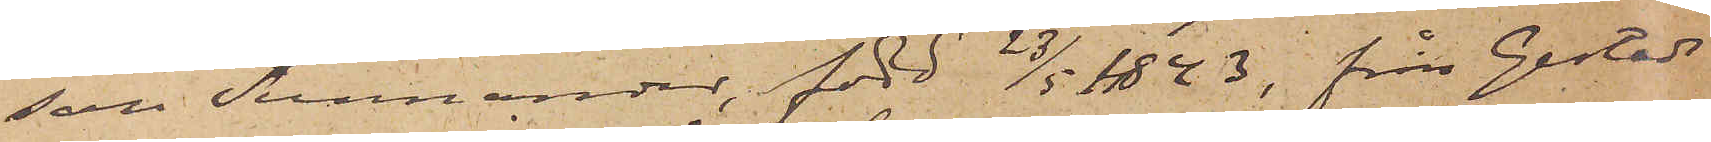son Sunnander, född 23/5 1843, från Gestads
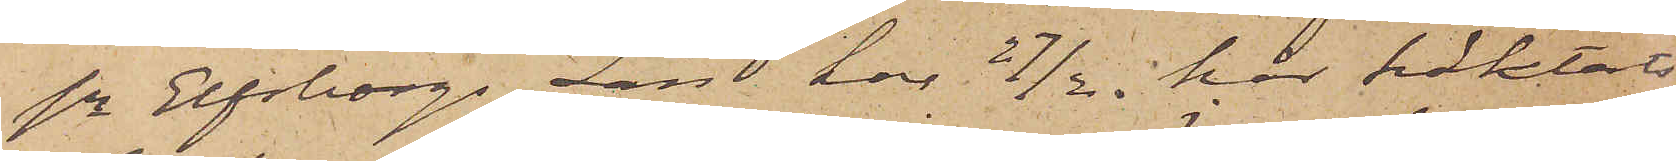sn Elfsborgs Län har 27/2 här häktats
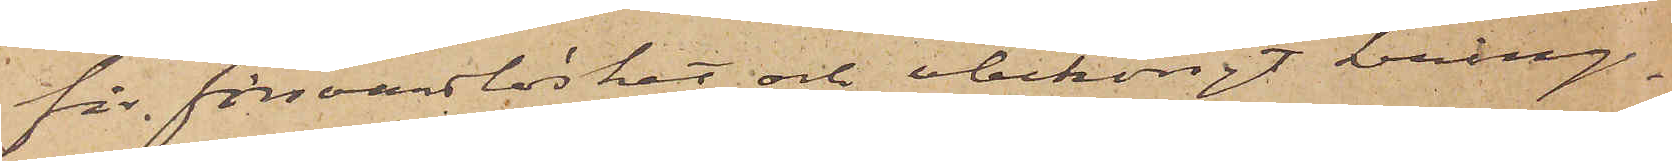för försvarslöshet och obehörigt kring¬
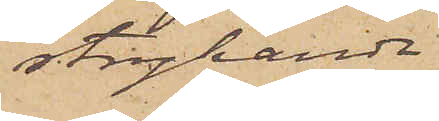strykande
